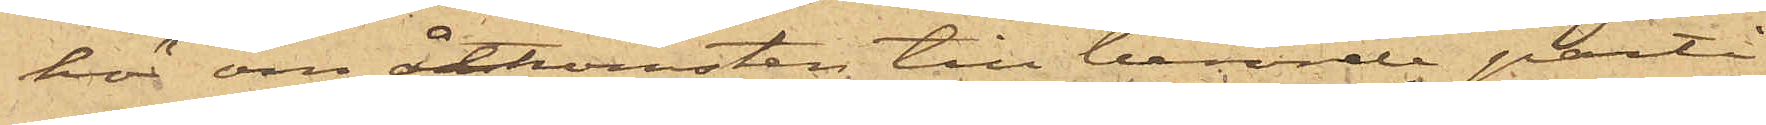hör om åtkomsten till berörde parti
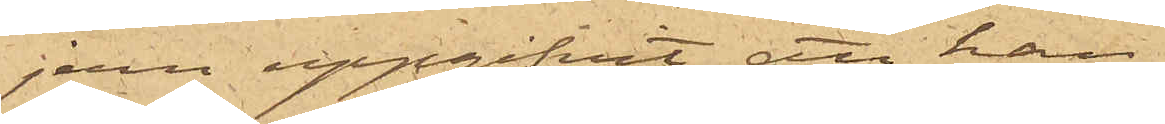jern uppgifvit, att han
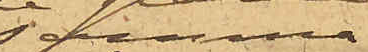samma
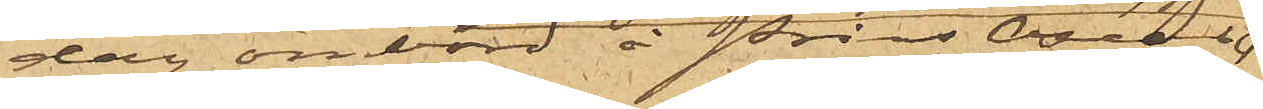dag ombord å Prins Oscar,
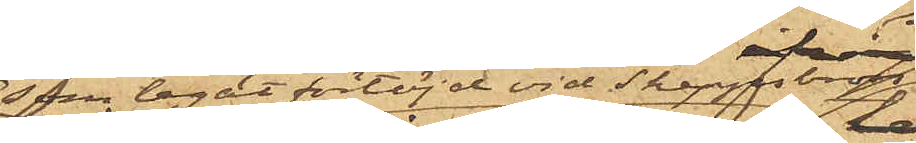som legat förtöjd vid Skeppsbron,
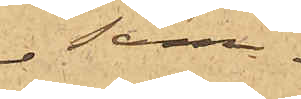sam¬
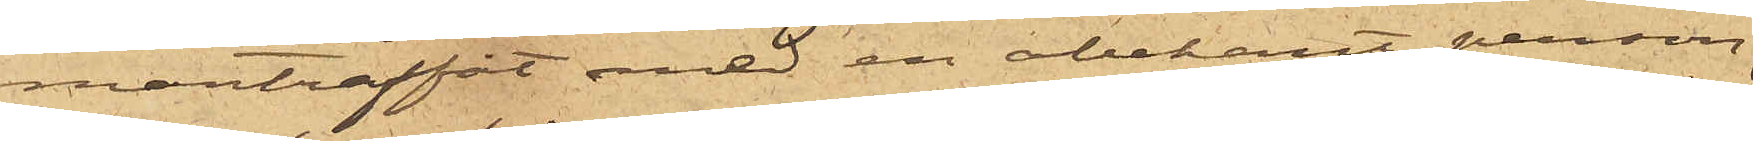manträffat med en obekant person,
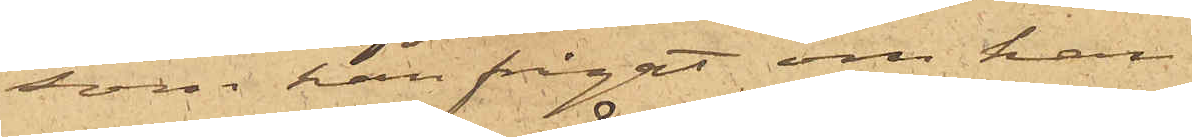som han frågat om han
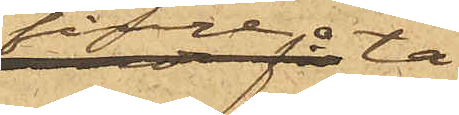finge ta¬
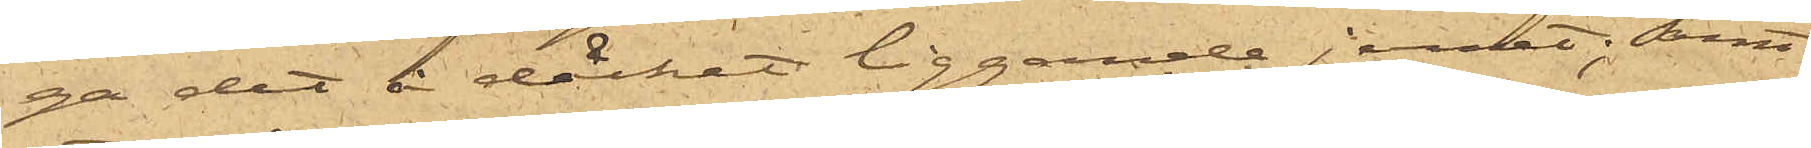ga det å däcket liggande jernet; samt
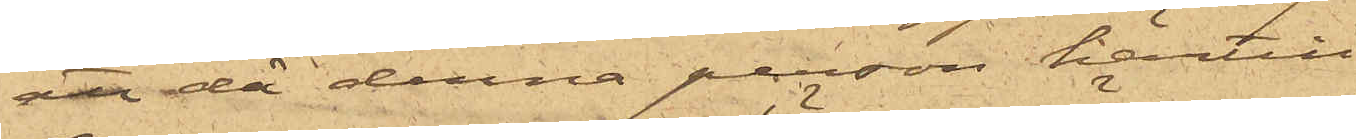att då denna person härtill
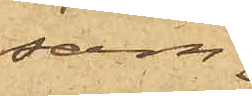sam¬
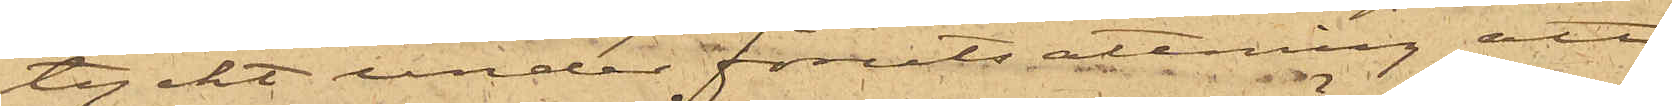tyckt under förutsättning att
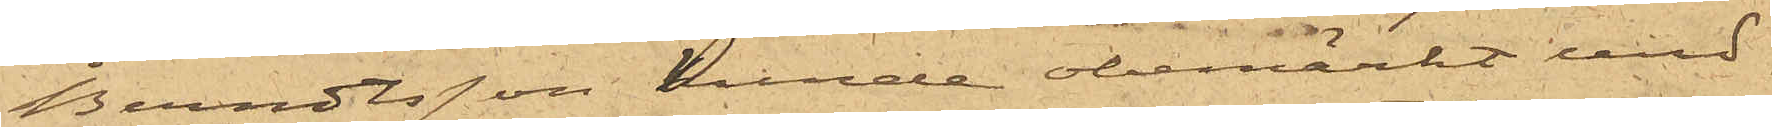Berndtsson kunde obemärkt und¬
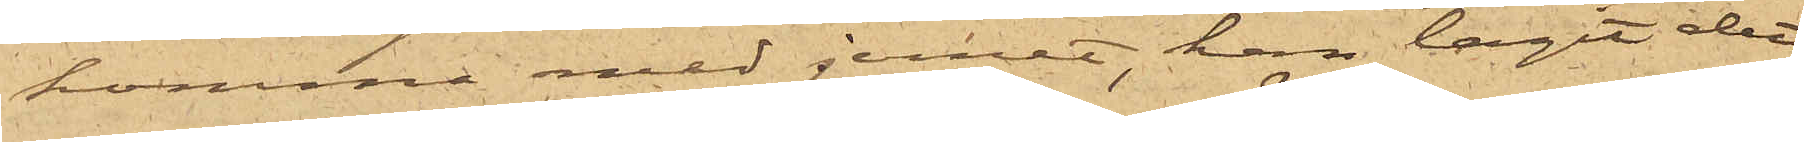komma med jernet, han tagit det¬
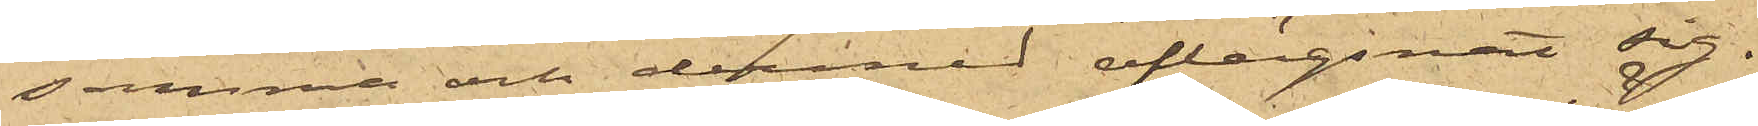samma och dermed aflägsnat sig. 
